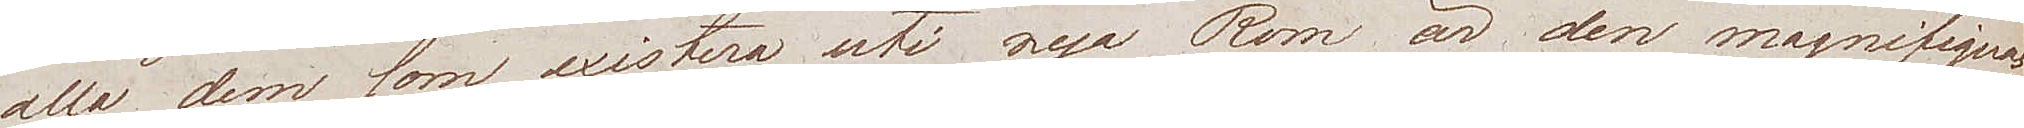alla dem som existera uti nya Rom är den magnifiquas¬
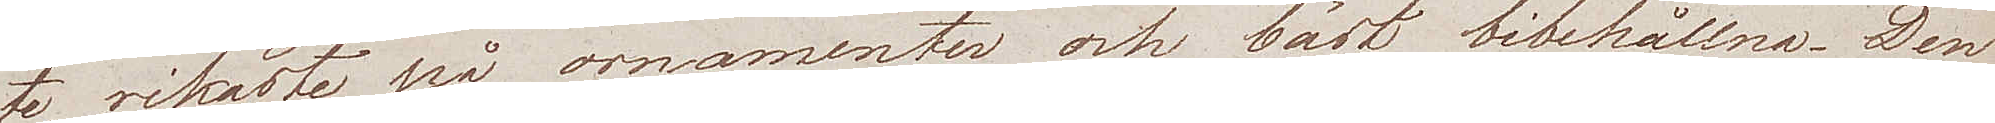te, rikaste på ornamenter och bäst bibehållen. Den
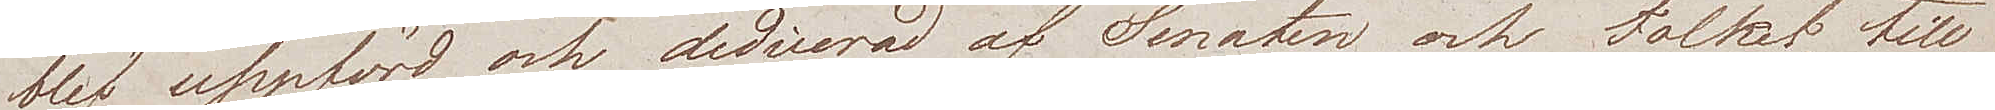blef uppförd och dedicerad af Senaten och Folket till
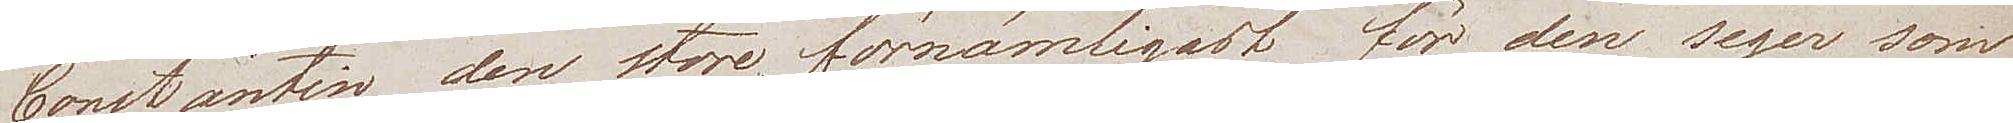Constantin den store, förnämligast för den seger som
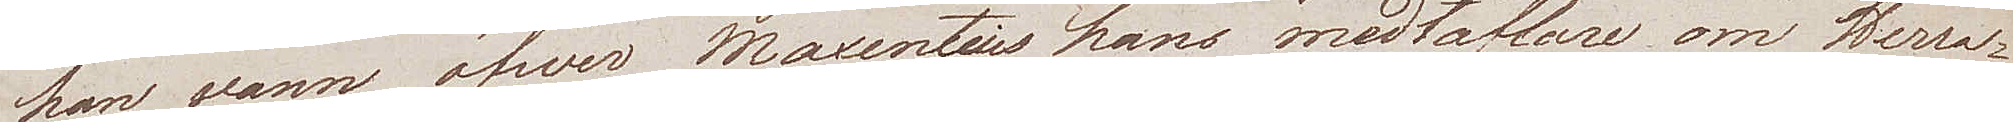han vann öfwer Maxentius hans medtäflare om Herra¬
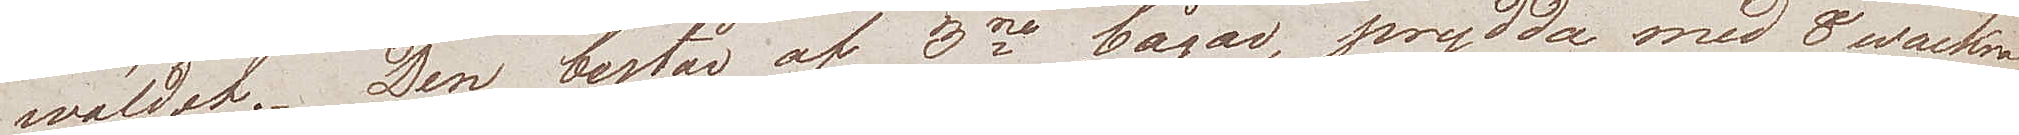wäldet. Den består af 3ne bågar, prydda med 8 wackra
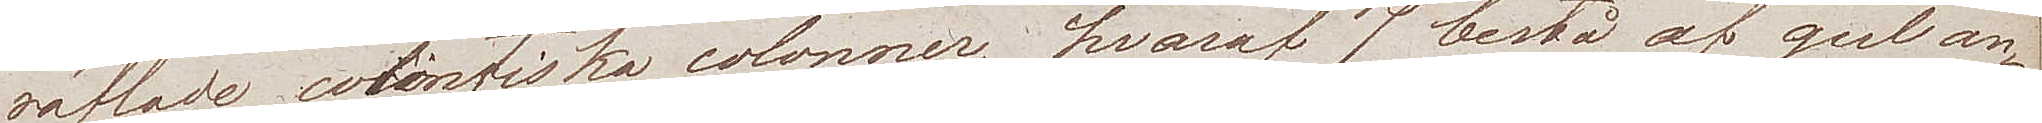räfflade corintiska colonner, hvaraf 7 bestå af gul an¬
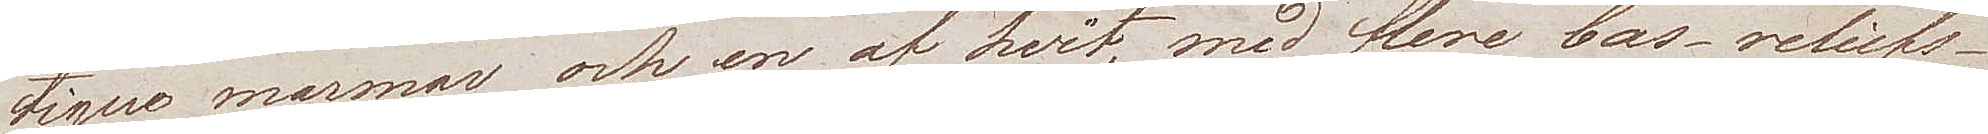tique marmor och en af hvit, med flere bas-reliefs
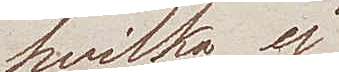hvilka ej
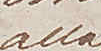alla
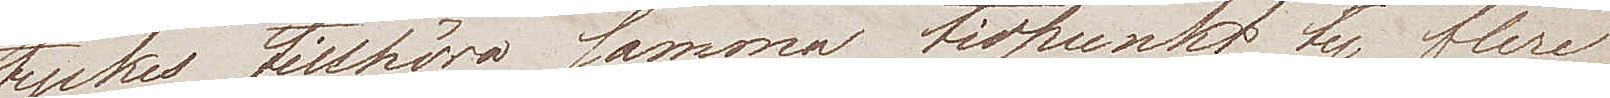tyckes tillhöra samma tidpunkt, ty flere
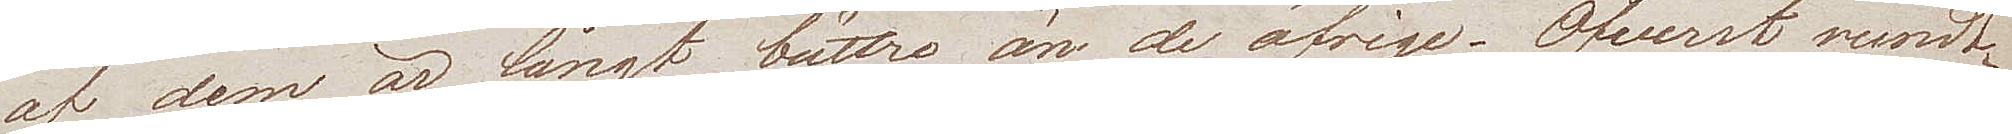af dem är långt bättre än de öfrige. Öfverst rundt¬
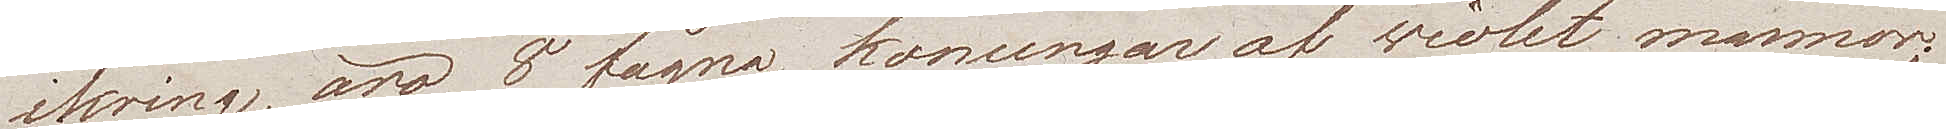ikring äro 8 fågna konungar af wiolet marmor;
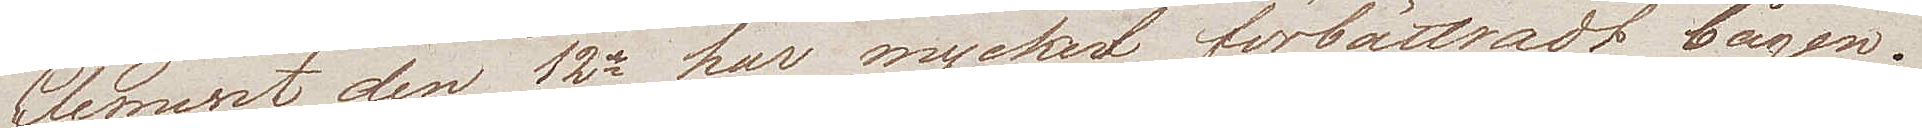Clement den 12e har mycket förbättradt bågen.
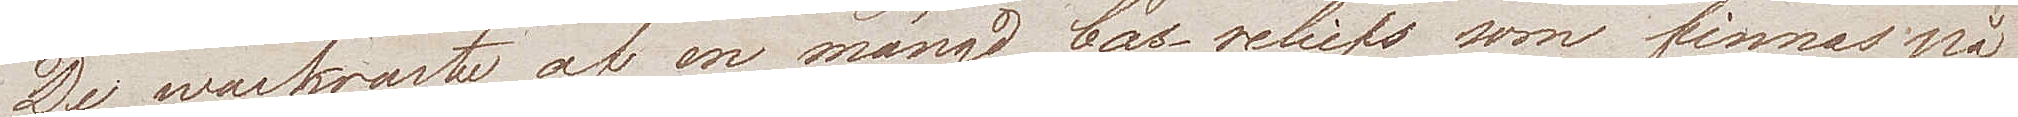De wackraste af en mängd bas-reliefs som finnas på
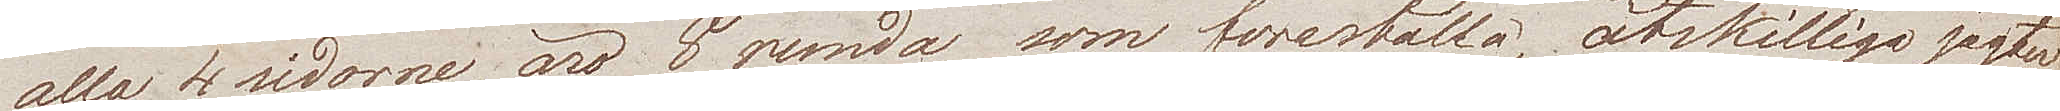alla 4 sidorna, äro 8 runda som föreställa, åtskilliga jagter
